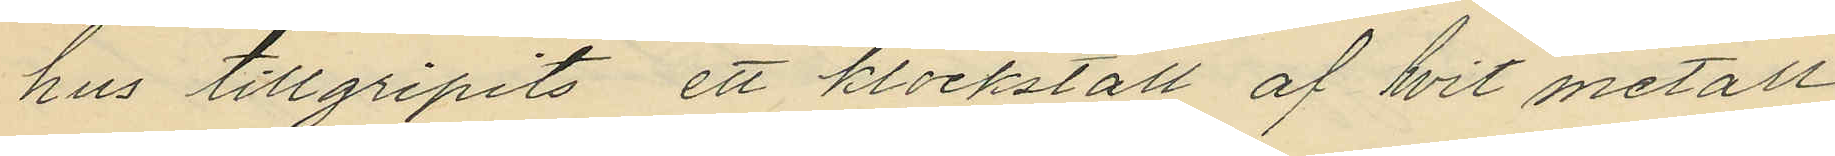hus tillgripits ett klockställ af hvit metall
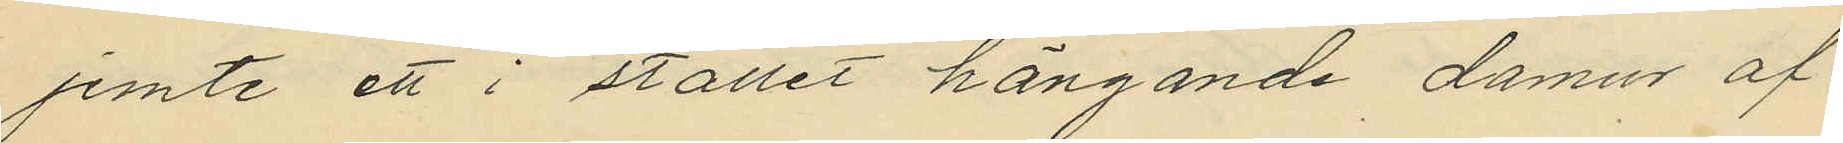jemte ett i stället hängande damur af
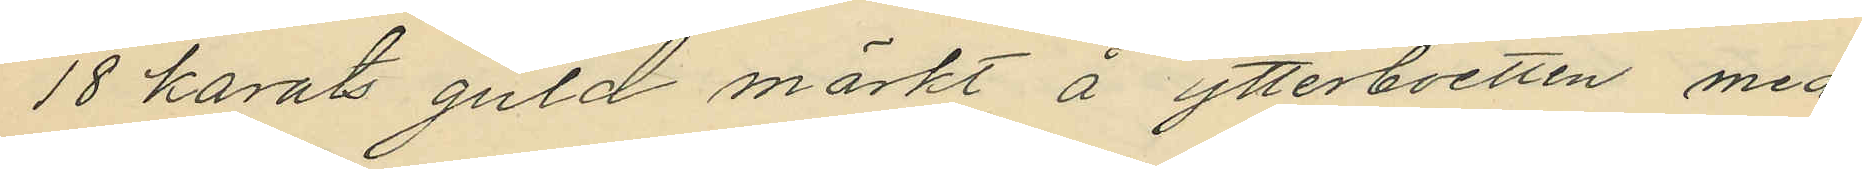18 karats guld märkt å ytterboetten med
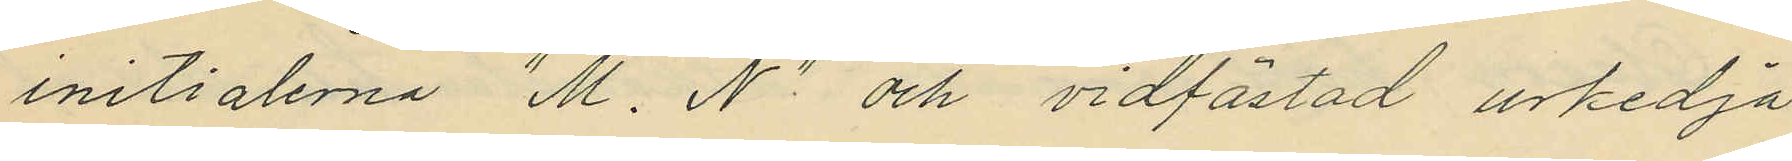initialerna "M. N"och vidfästad urkedja
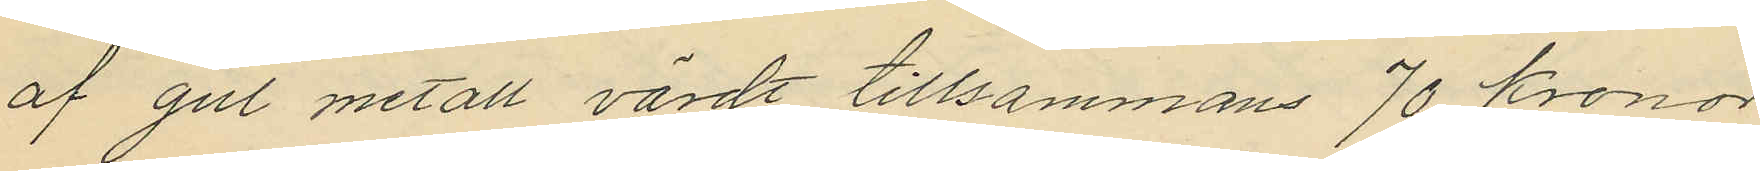af gul metall värdt tillsammans 70 kronor
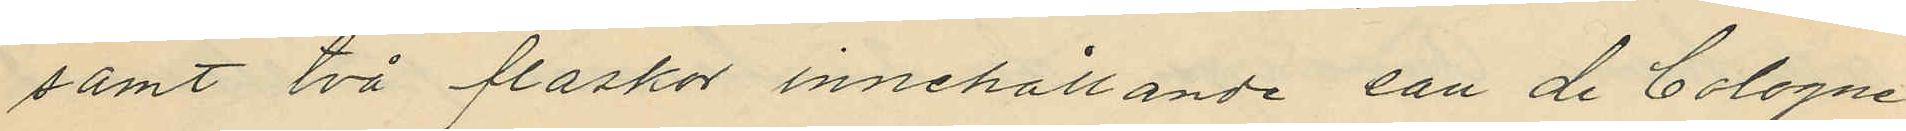samt två flaskor innehållande eau de Cologne
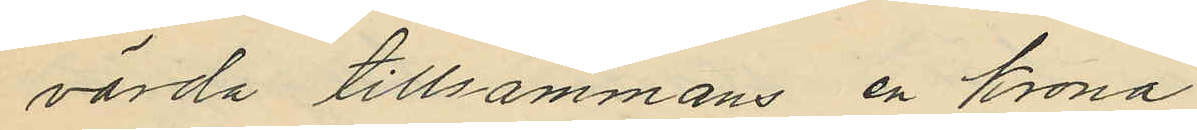värda tillsammans en Krona.
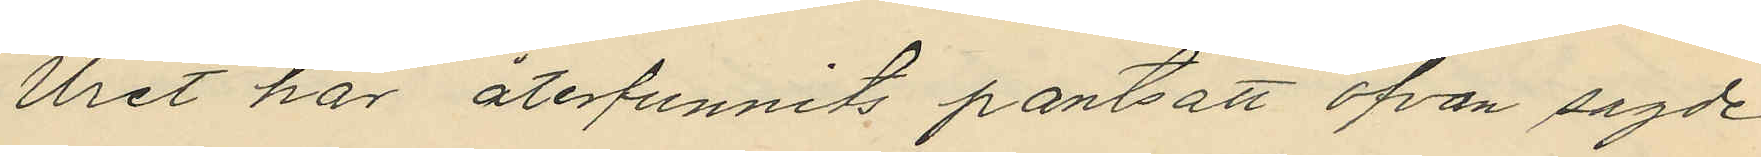Uret har återfunnits pantsatt ofvan sagde
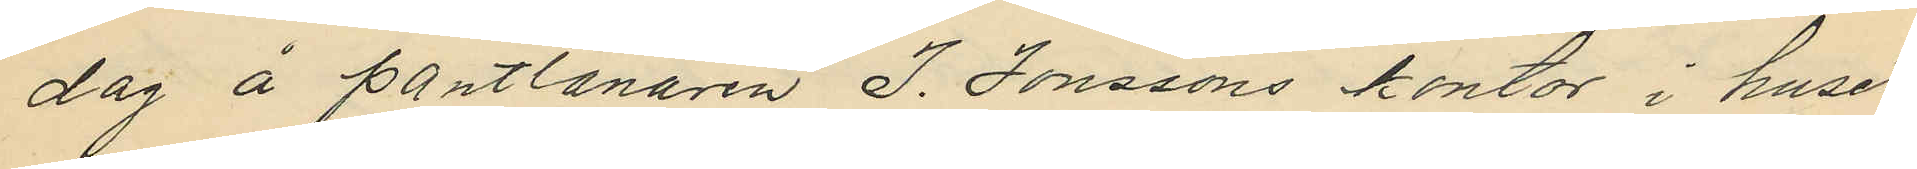dag å pantlånaren J. Jonssons kontor i huset
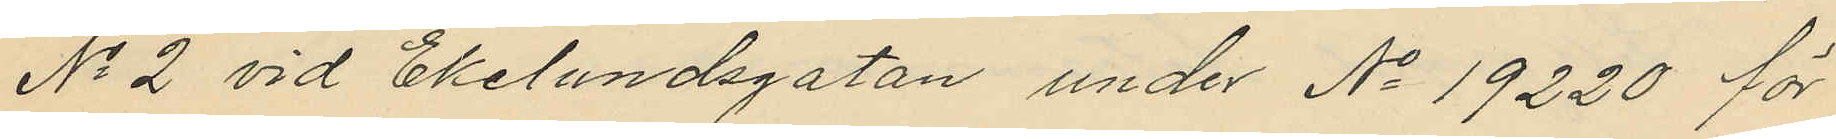No 2 vid Ekelundsgatan under No 19220 för
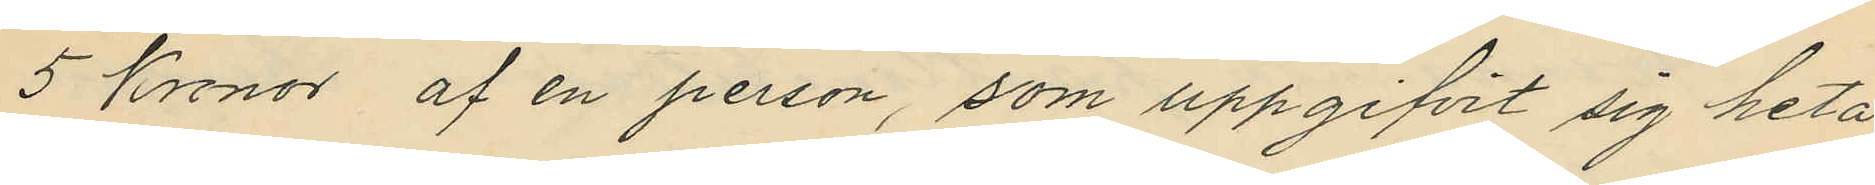5 kronor af en person, som uppgifvit sig heta
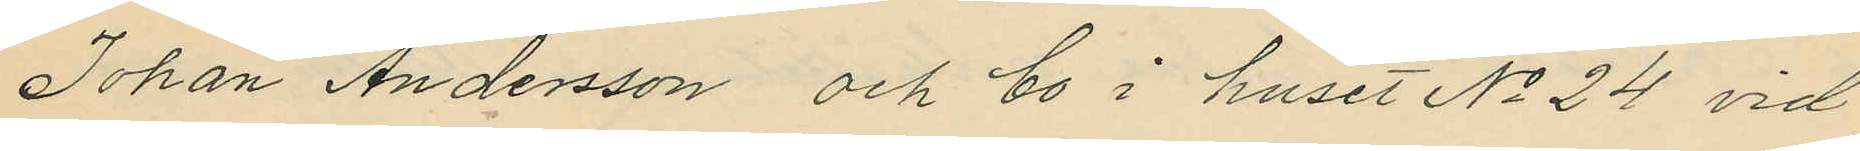Johan Andersson och bo i huset No 24 vid
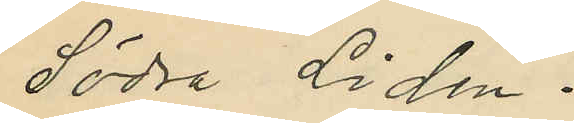Södra Liden.
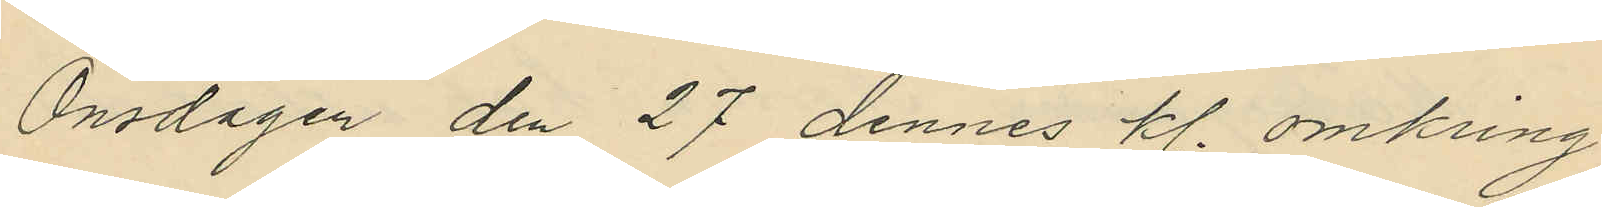Onsdagen den 27 dennes kl. omkring
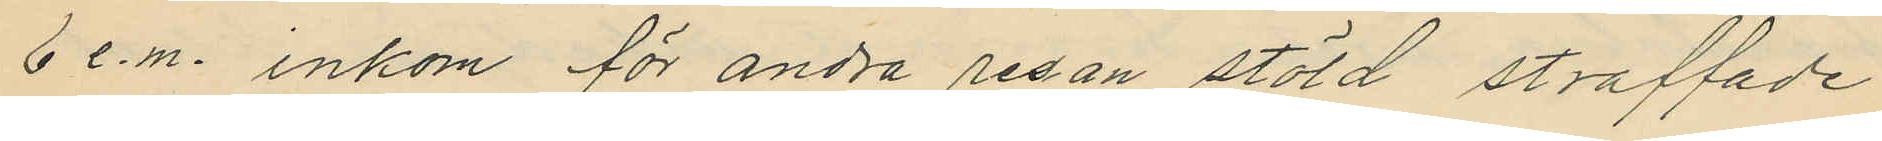6 e.m. inkom för andra resan stöld straffade
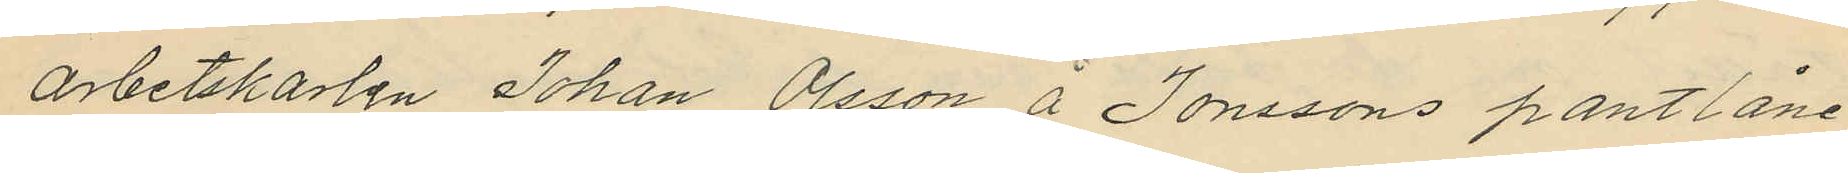arbetskarlen Johan Olsson å Jonssons pantlåne¬
